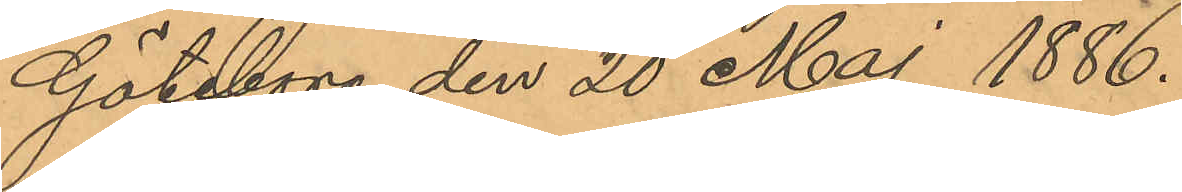Göteborg den 20 Maj 1886.
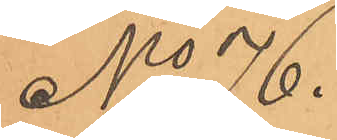No 76.
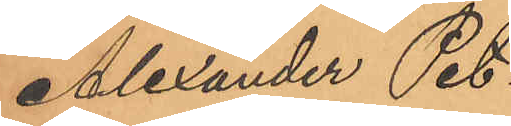Alexander Pet¬
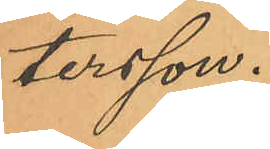tersson.
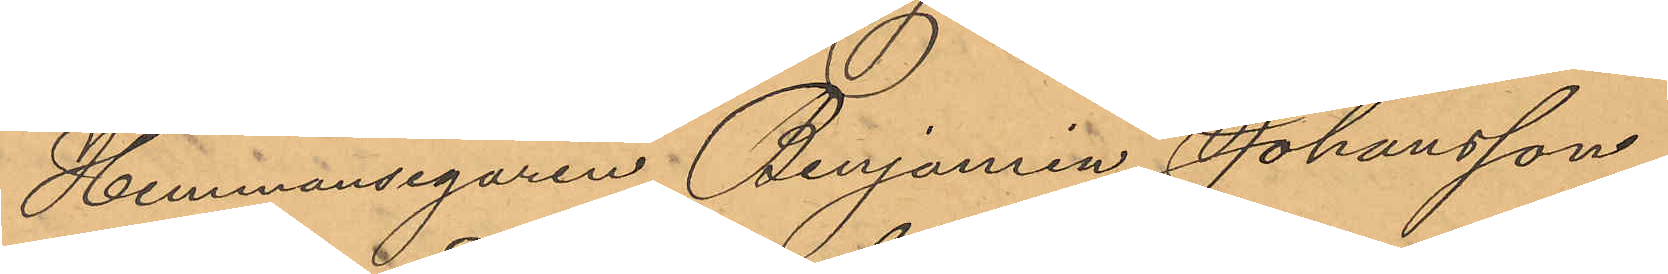Hemmansegaren Benjamrin Johansson
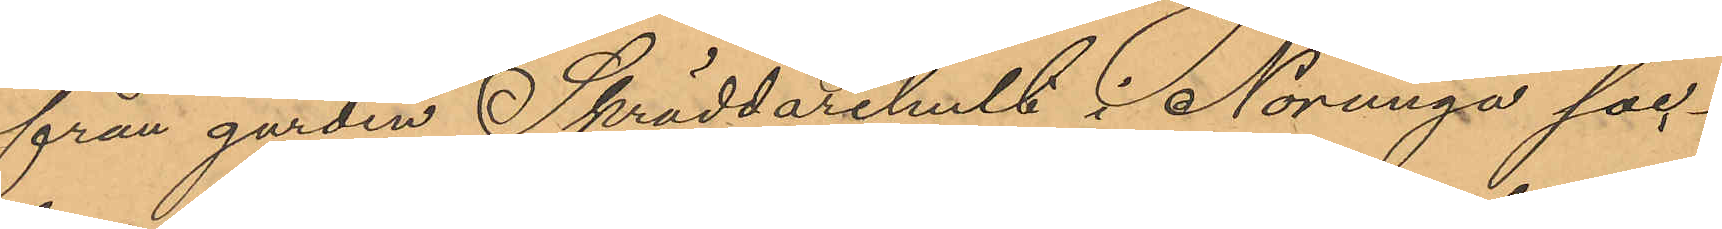från gården Skräddarehult i Norunga soc¬
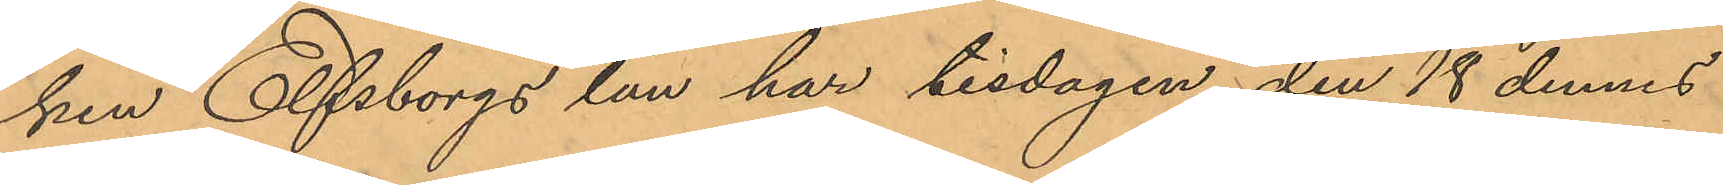ken Elfsborgs län har tisdagen den 18 dennes
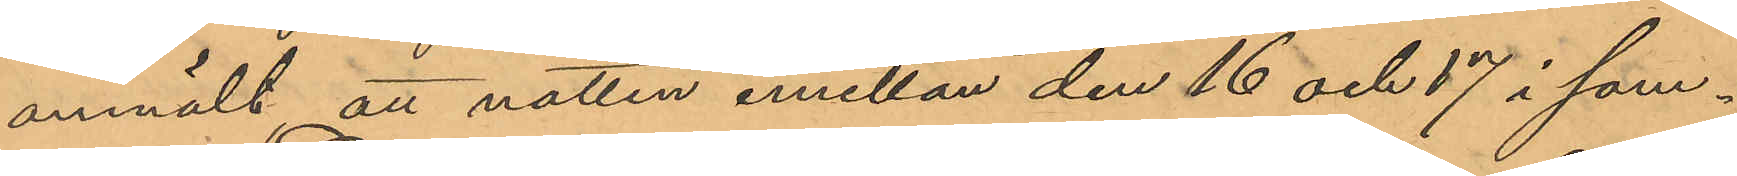anmält att natten emellan den 16 och 17 i sam¬
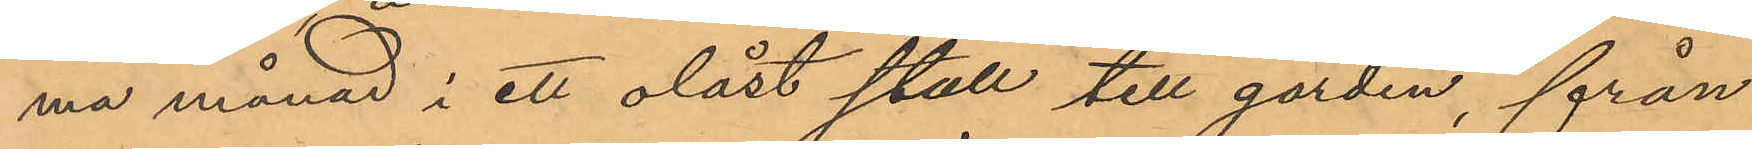ma månad i ett olåst stall till gården, från
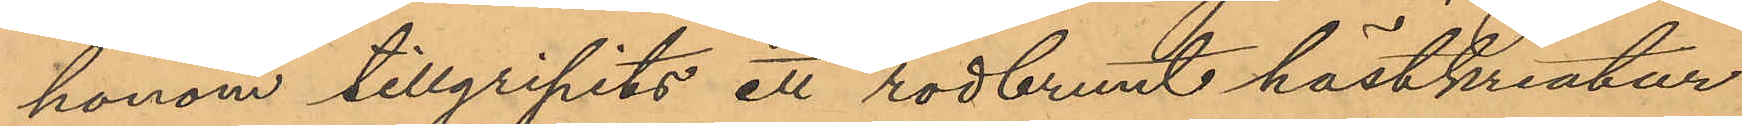honom tillgripits ett rödbrunt hästkreatur
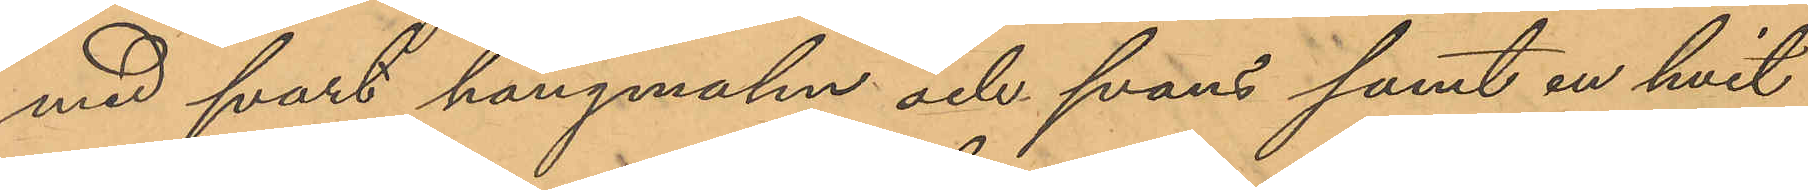med svart hängmahn och svans samt en hvit
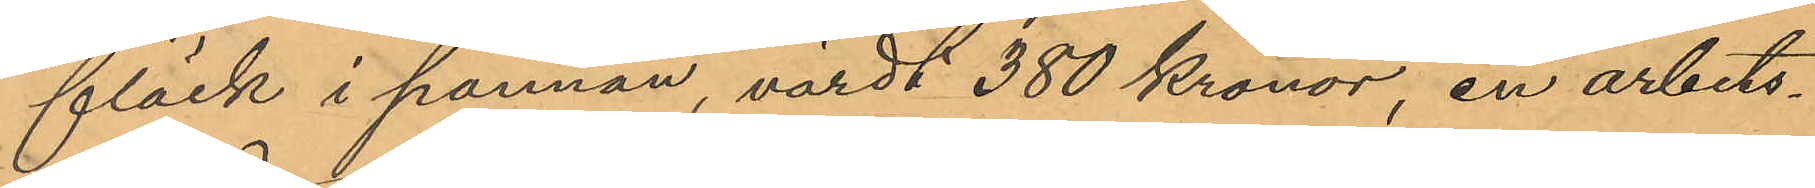fläck i pannan, värdt 380 Kronor, en arbets¬
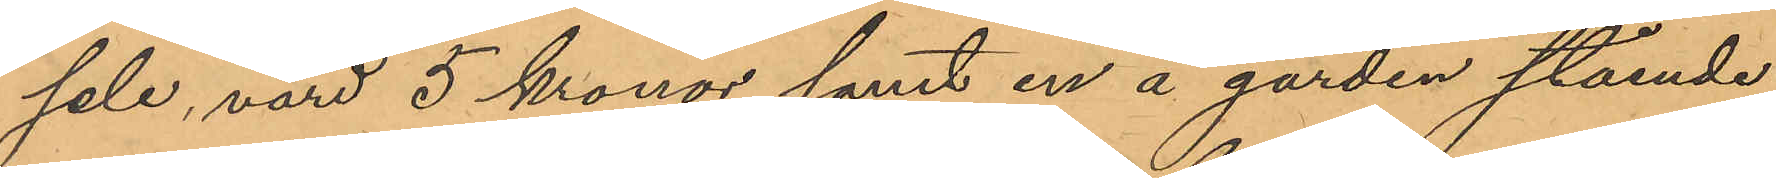sele, värd 5 kronor samt en å gården stående
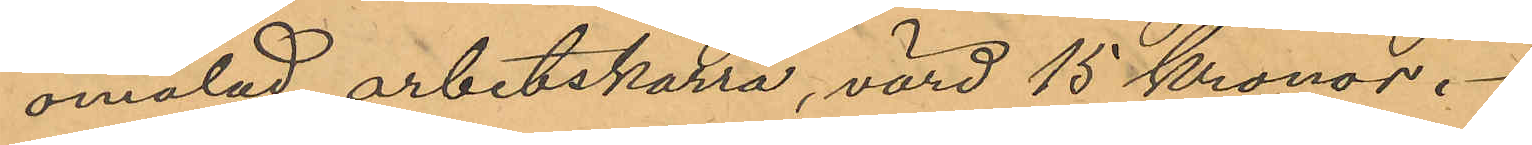omålad arbetskärra, värd 15 Kronor.
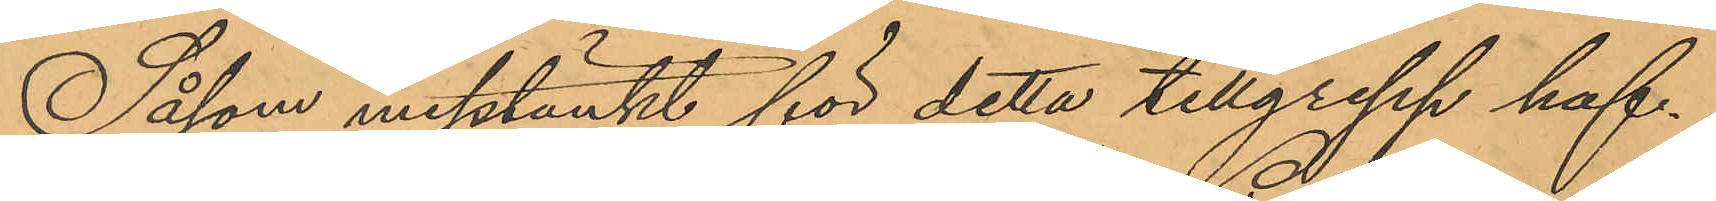Såsom misstänkt för detta tillgrepp haf¬
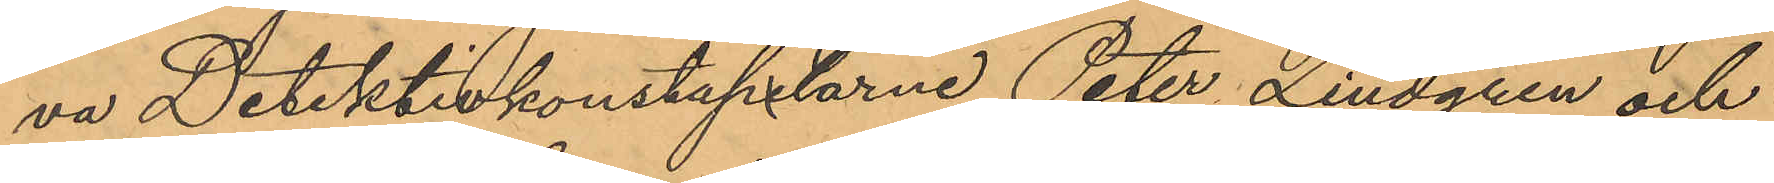va Detektivkonstapelarne Peter Lindgren och
